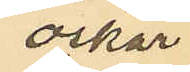Oskar
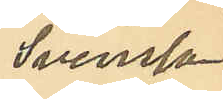Svensson
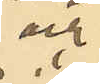och
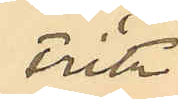Fritz
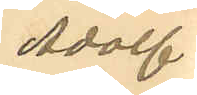Adolf
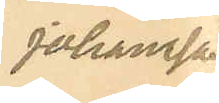Johansson
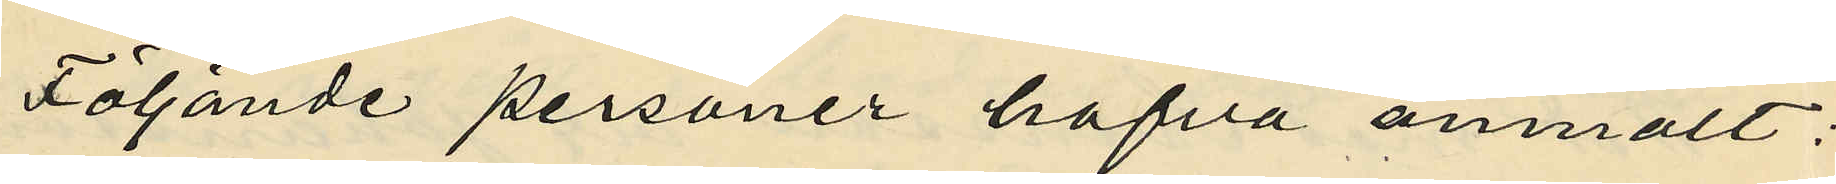Följande personer hafva anmält:
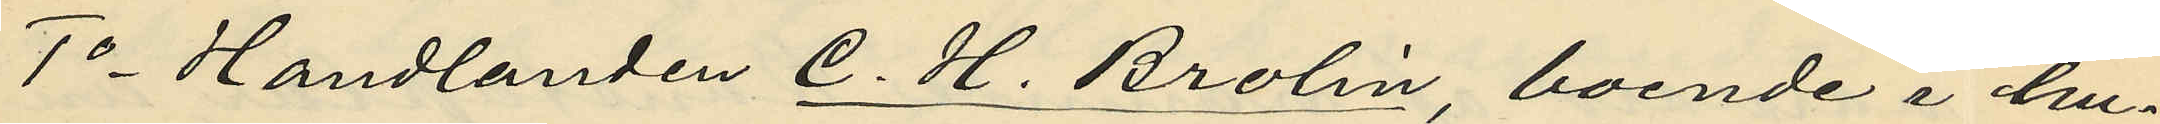1o Handlanden C. H. Brolin, boende i hu¬
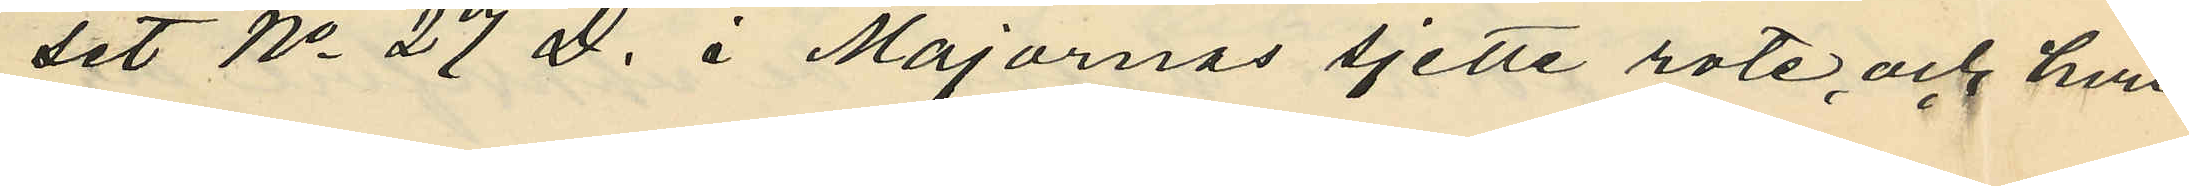set No 27 D. i Majornas sjette rote, och hvil¬
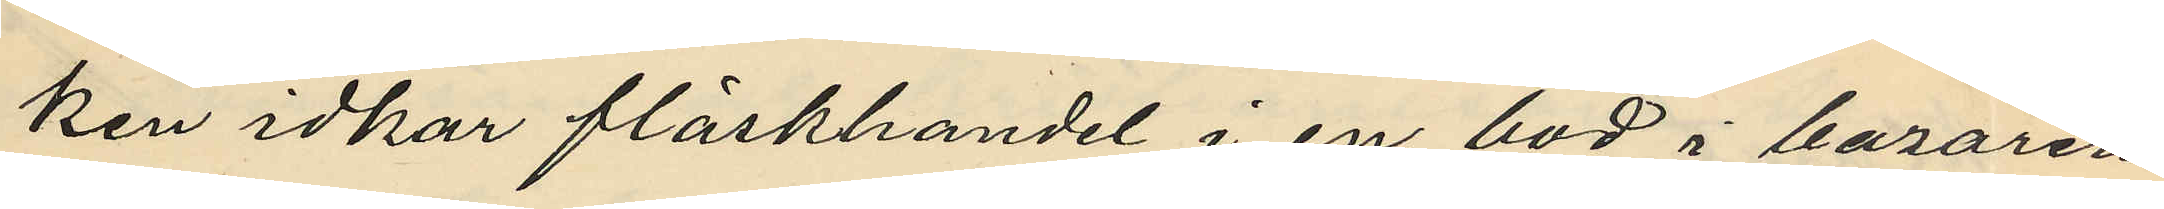ken idkar fläskhandel i en bod i bazaren
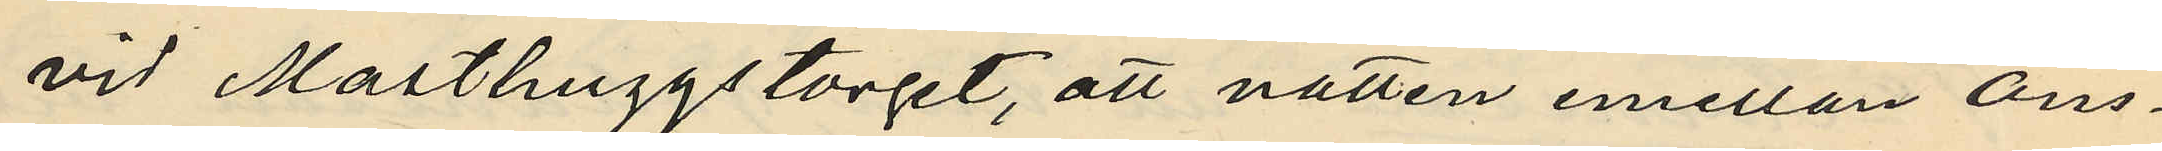vid Masthuggstorget, att natten emellan Ons¬
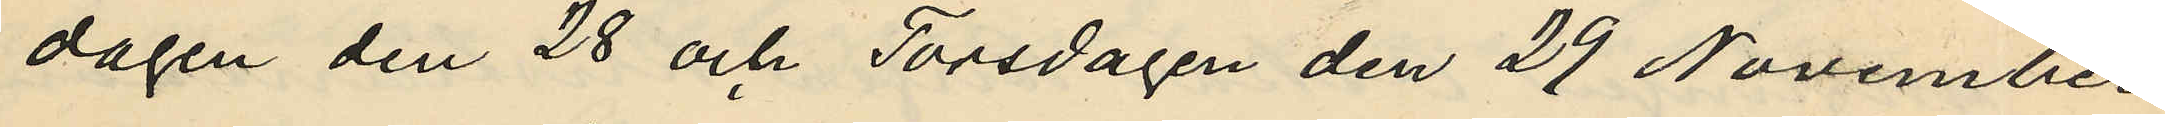dagen den 28 och Torsdagen den 29 November
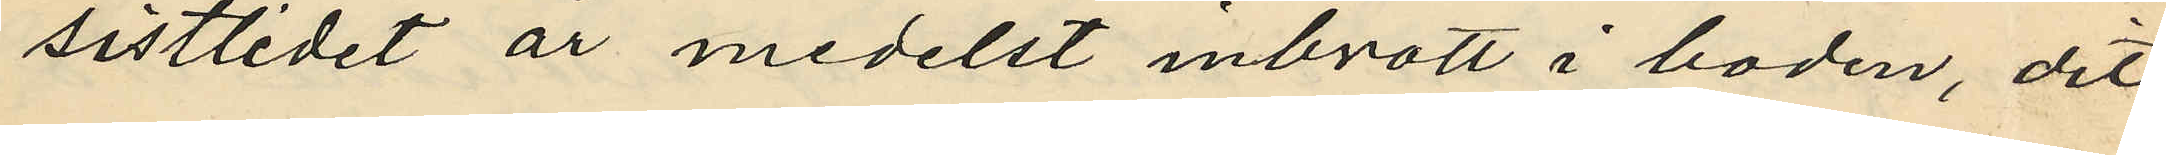sistlidet år medelst inbrott i boden, dit
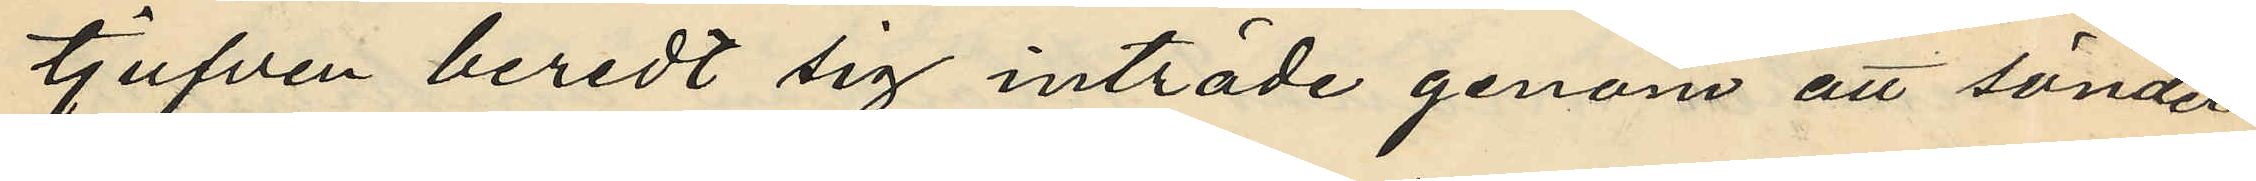tjufven beredt sig inträde genom att sönder¬
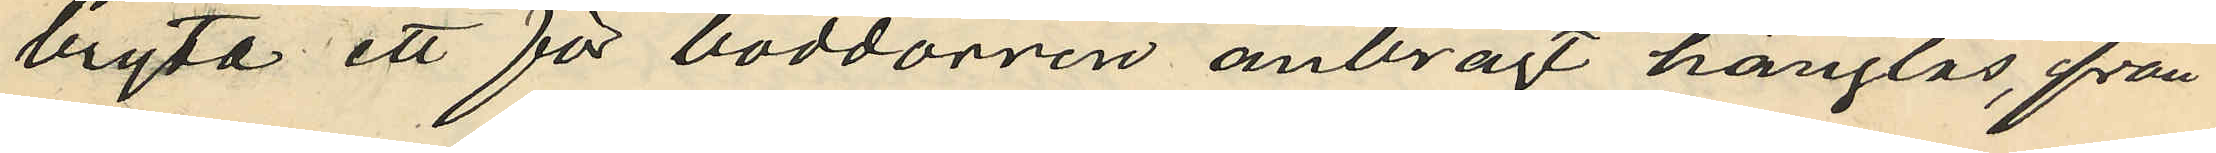bryta ett för boddörren anbragt hänglås, från
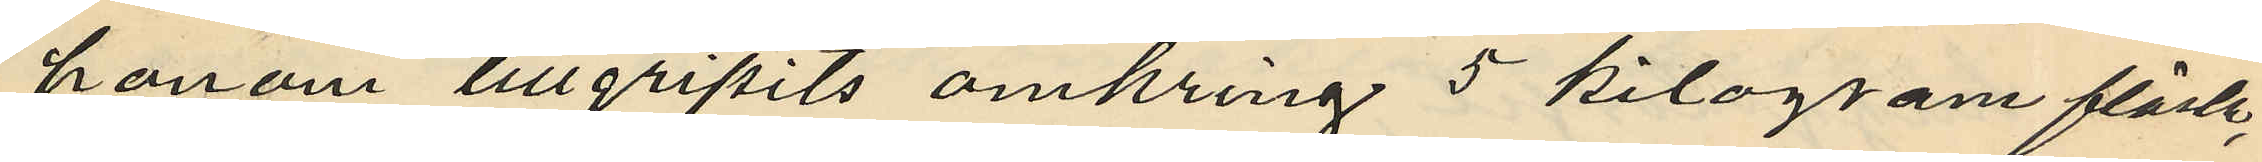honom tillgripits omkring 5 kilogram fläsk,
